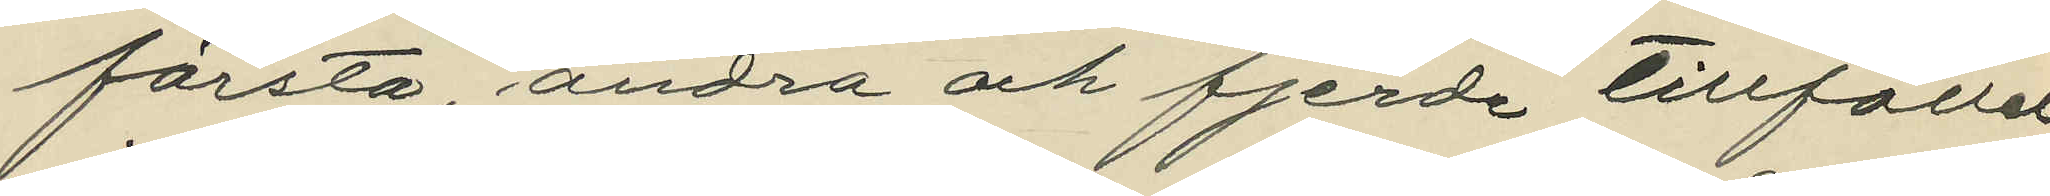första, andra och fjerde tillfället
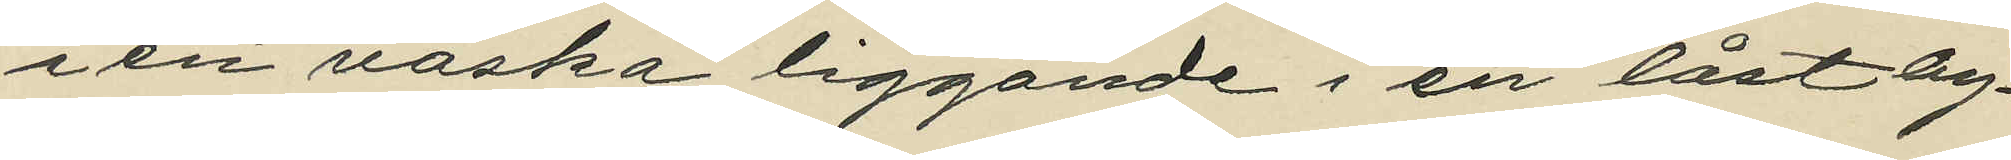i en väska liggande i en låst by¬
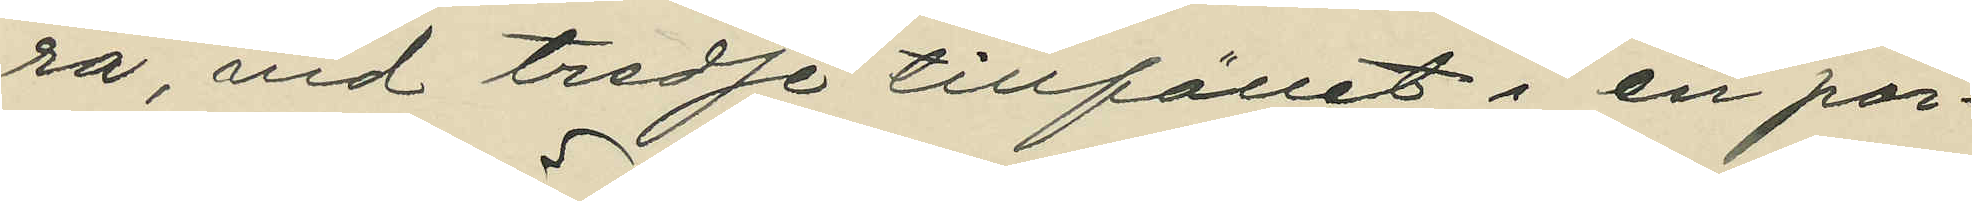rå, vid tredje tillfället i en por¬
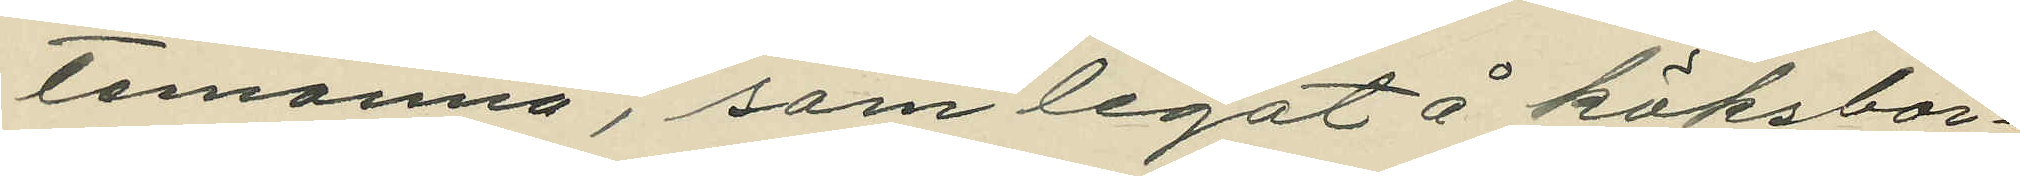temonnä, som legat å köksbor¬
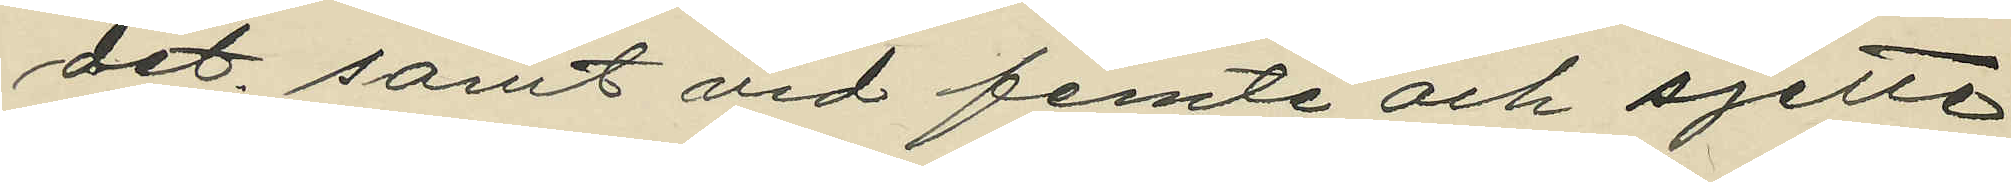det, samt vid femte och sjette
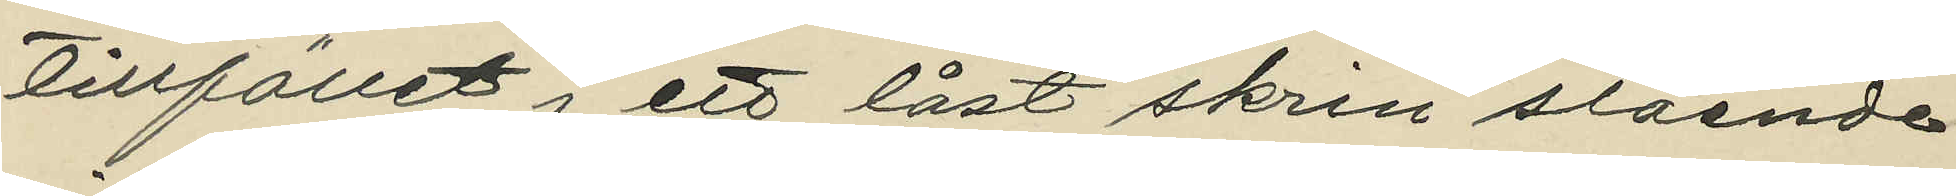tillfället i ett låst skrin stående
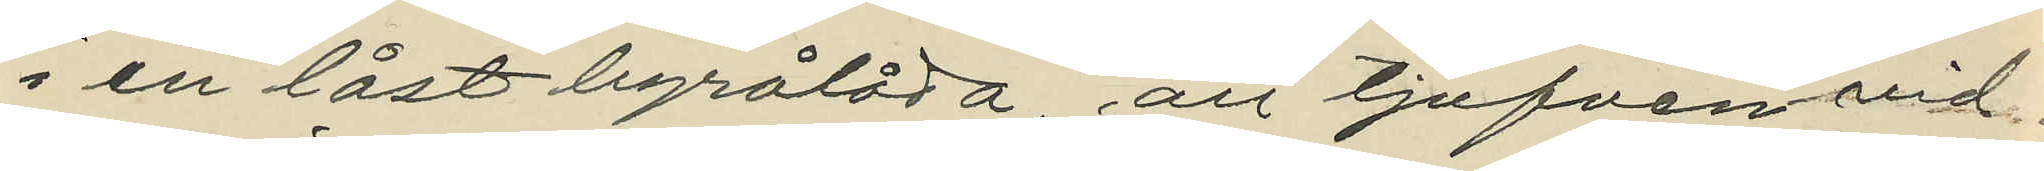i en låst byrålåda, att tjufven vid
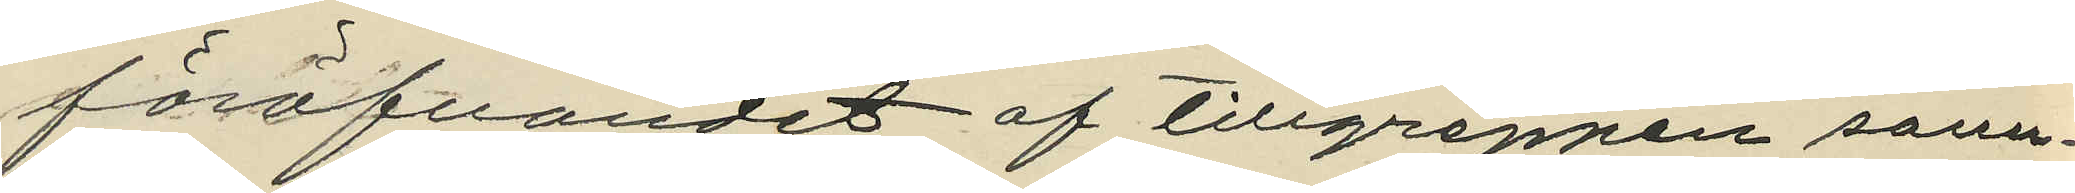föröfvandet af tillgreppen sann¬
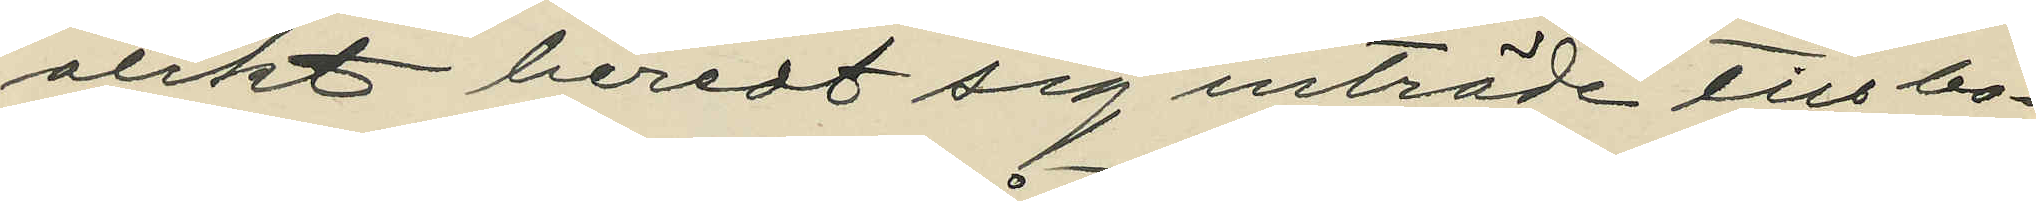olikt beredt sig inträde till bo¬
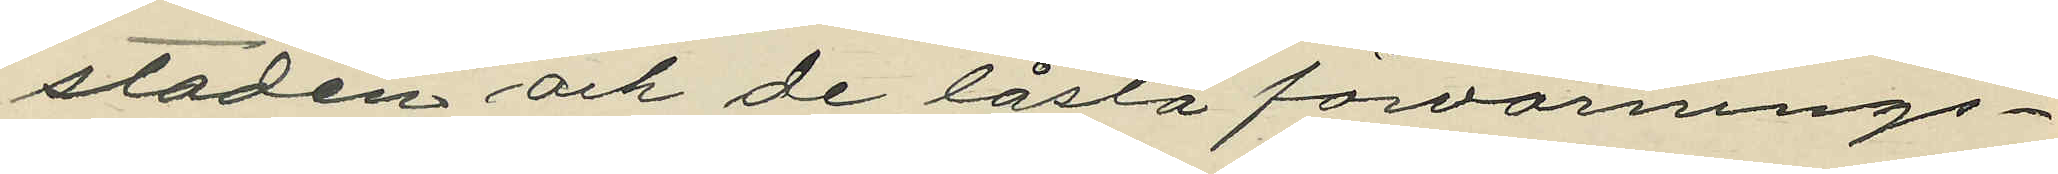staden och de låsta förvarnings¬
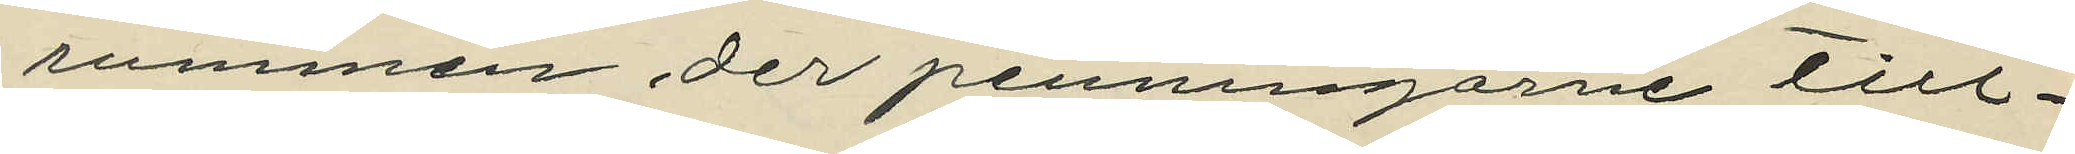rummen der penningarne till¬
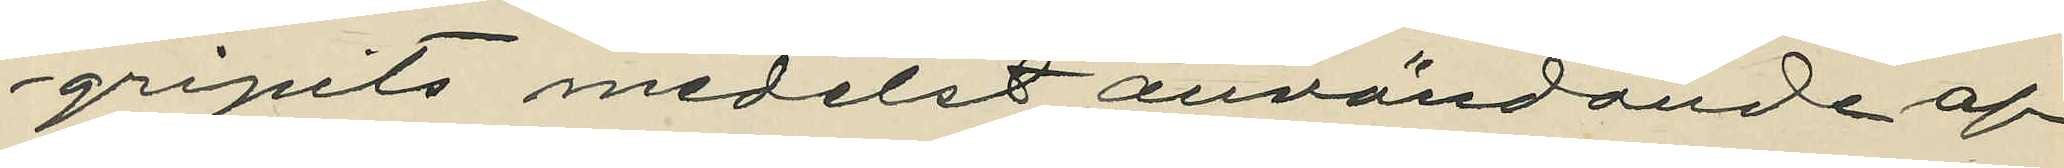gripits medelst användande af
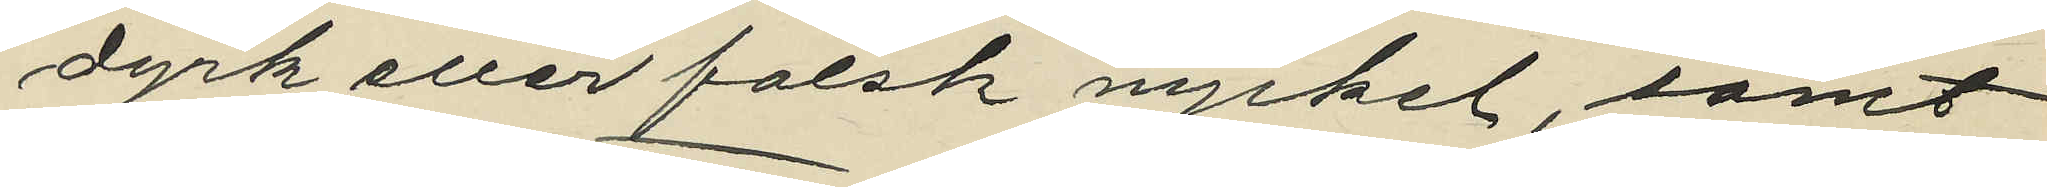dyrk eller falsk nyckel, samt
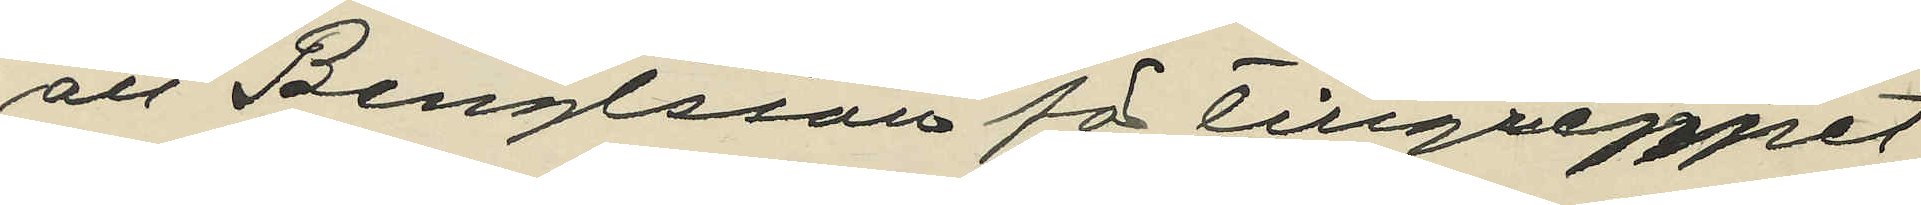att Bengtsson för tillgreppet
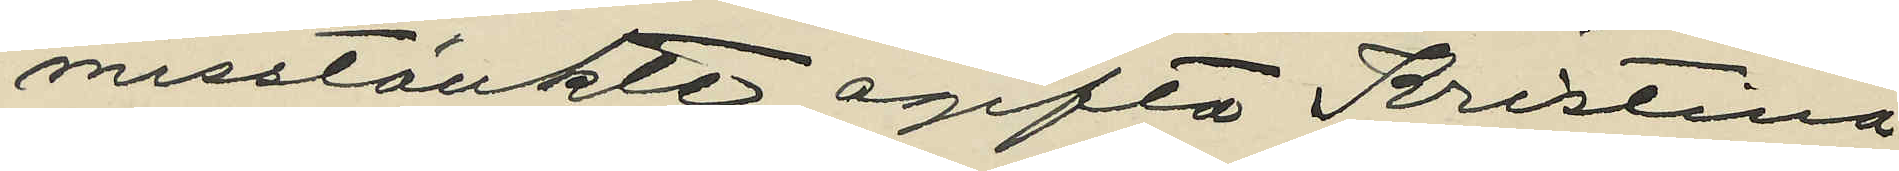misstänkte ogifta Kristina
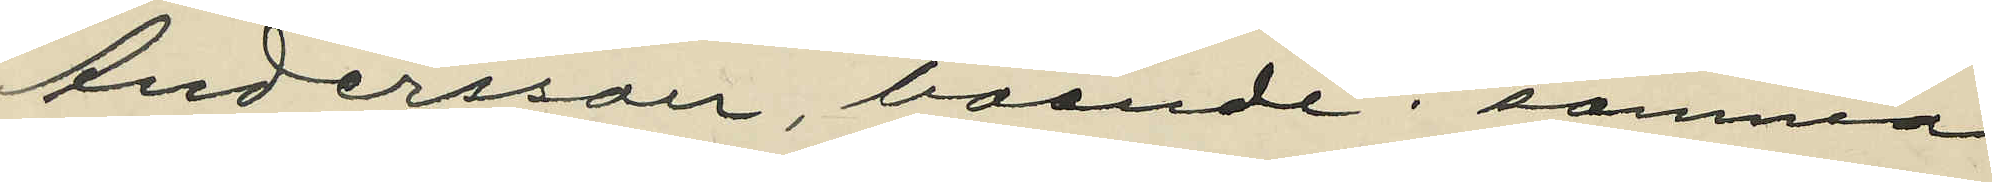Andersson, boende i samma
